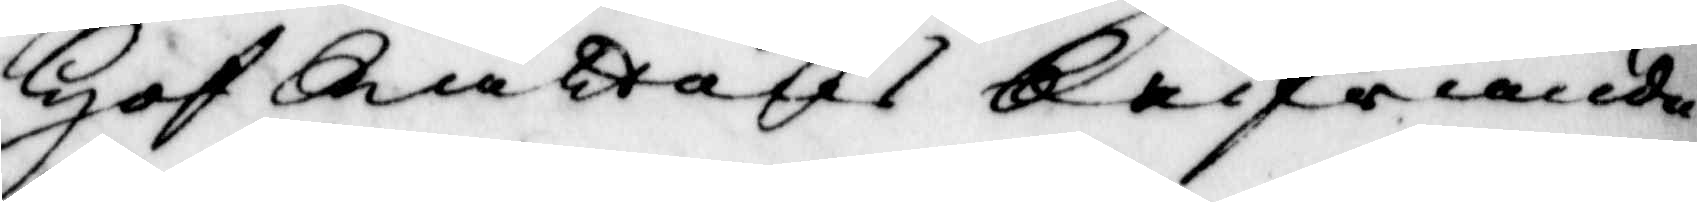Hof Rättens Skrifvande
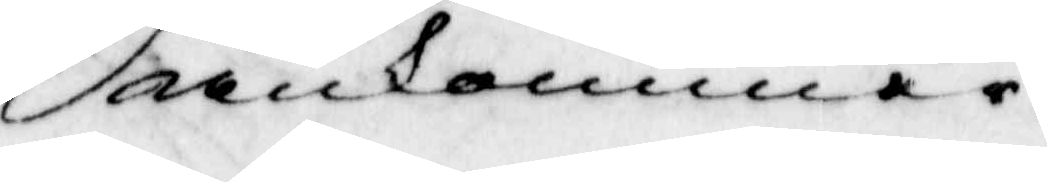ankommer.
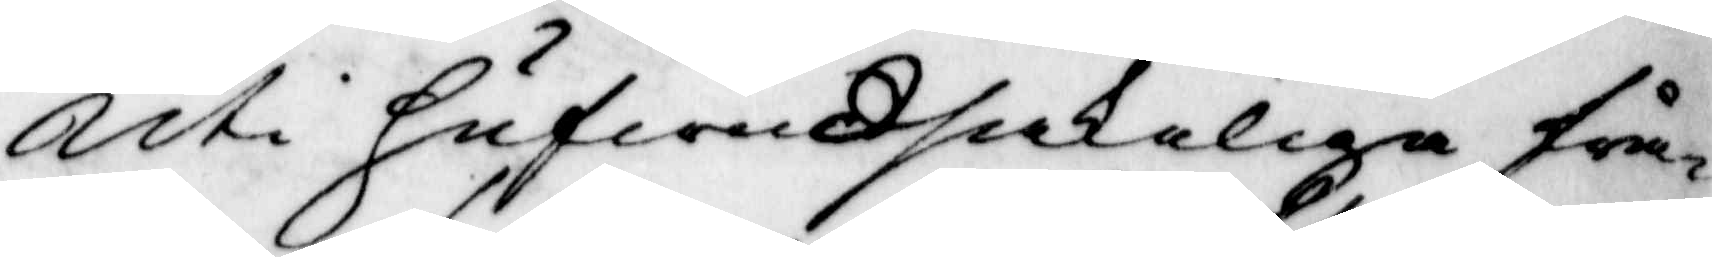Uti hufwudsakligen frå¬
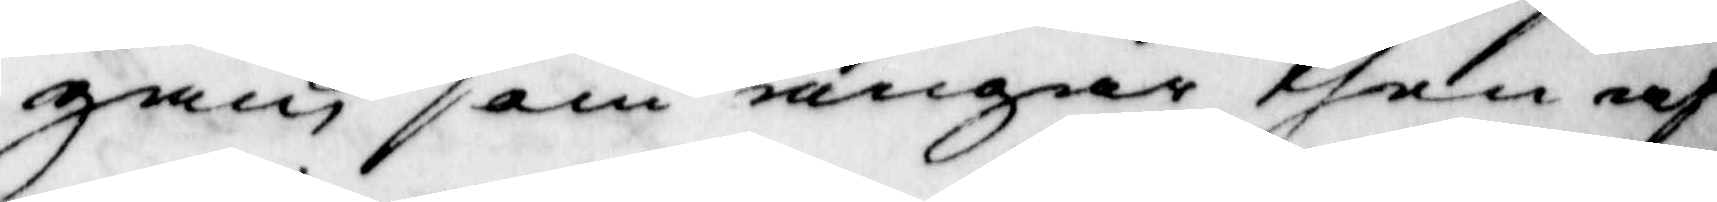gan som angår then af
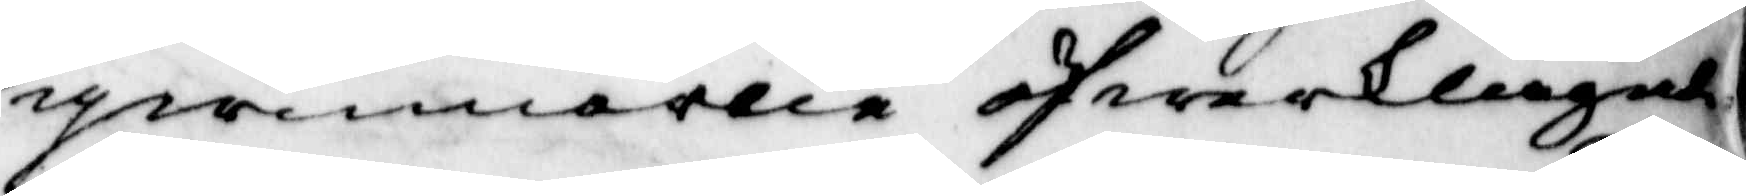qwinnorna öfwerklagade
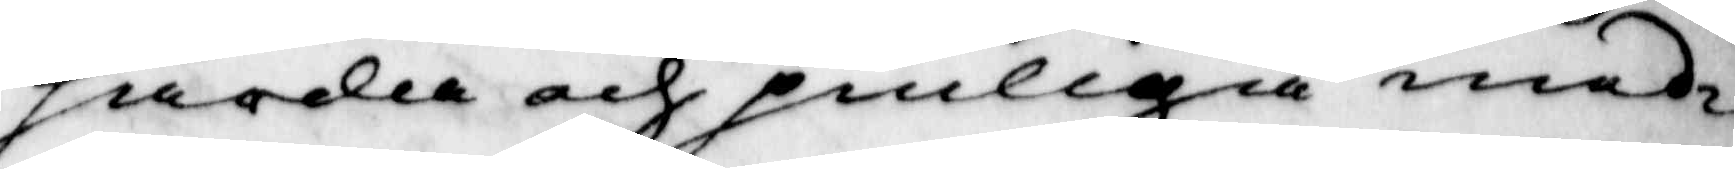hårda och pinliga med¬
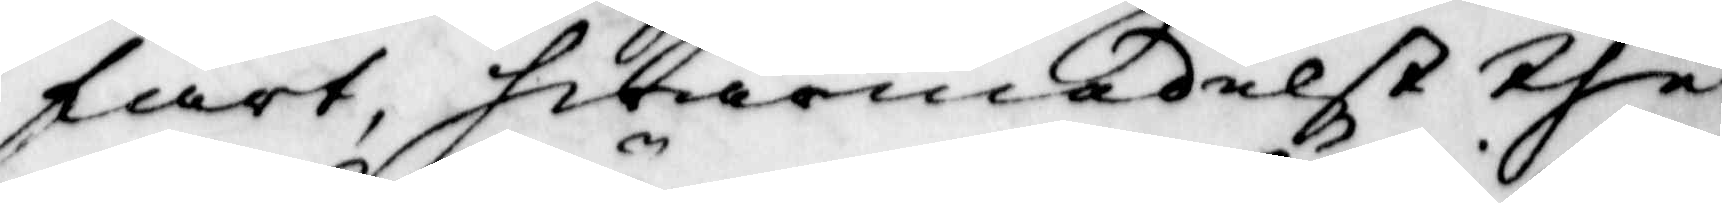fart, hwarmedelst the
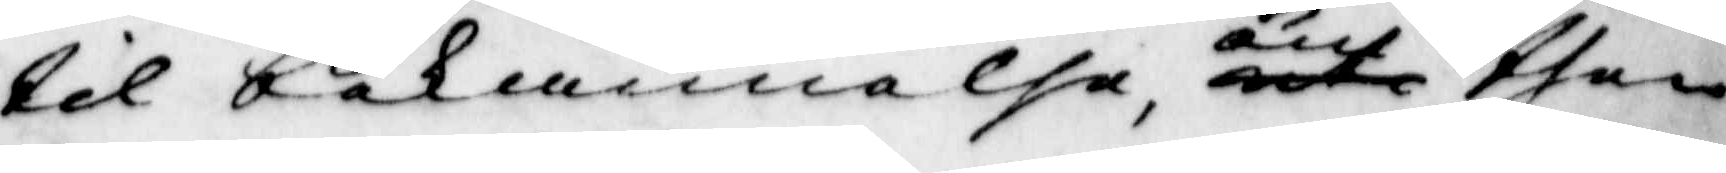til bekännelse, uti om then
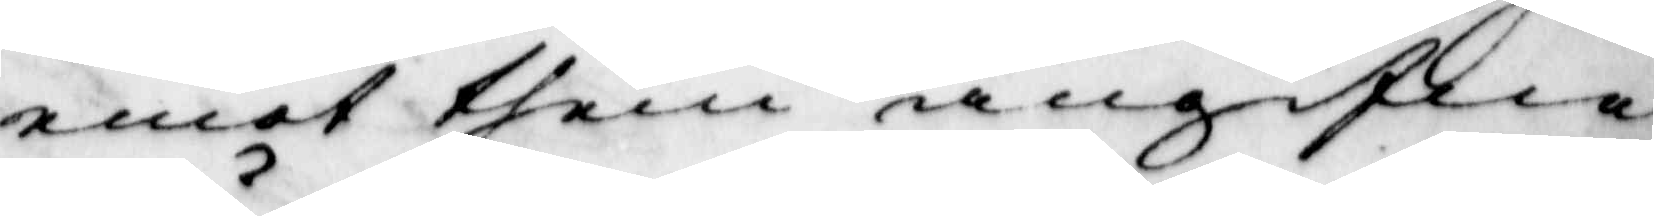emot them angifne
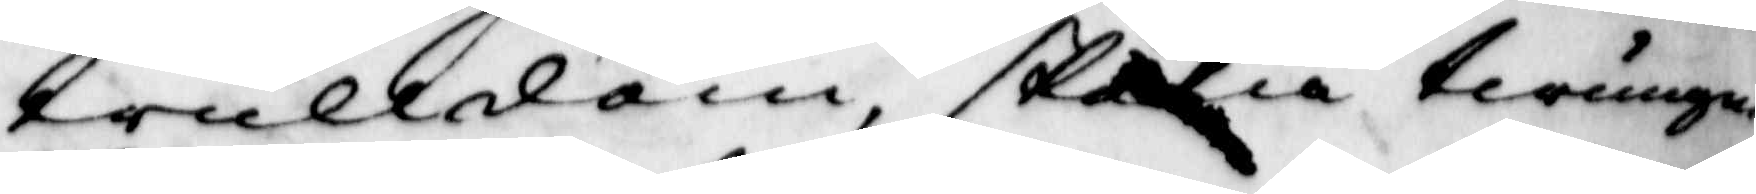trulldom, skola twungne
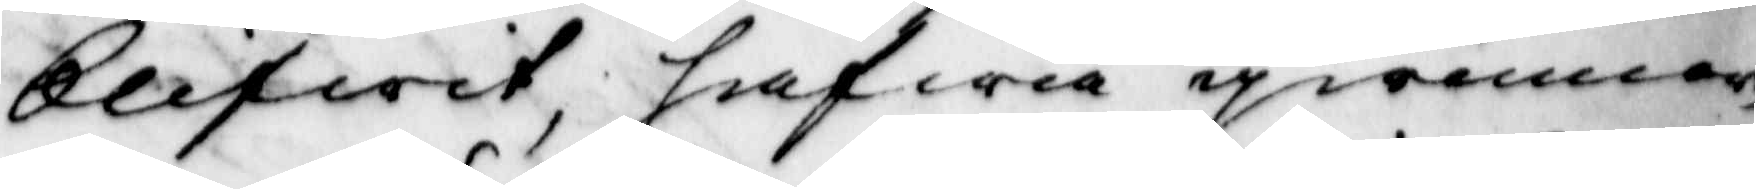blifwit, hafwa qwinnor¬
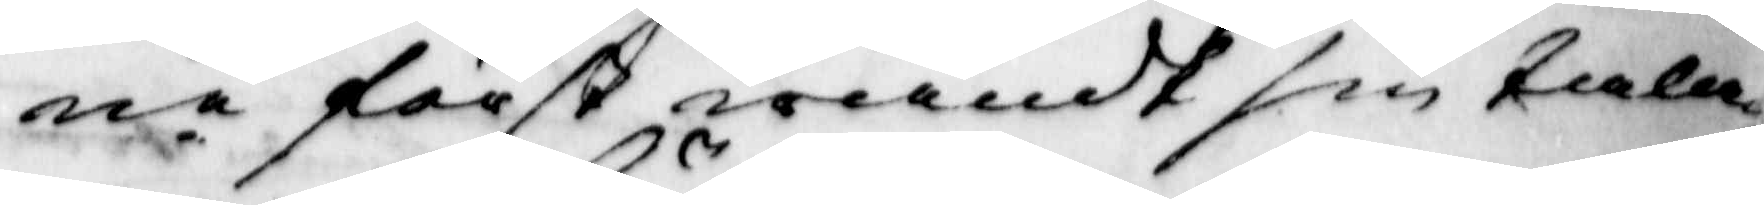ne först wändt sin talan
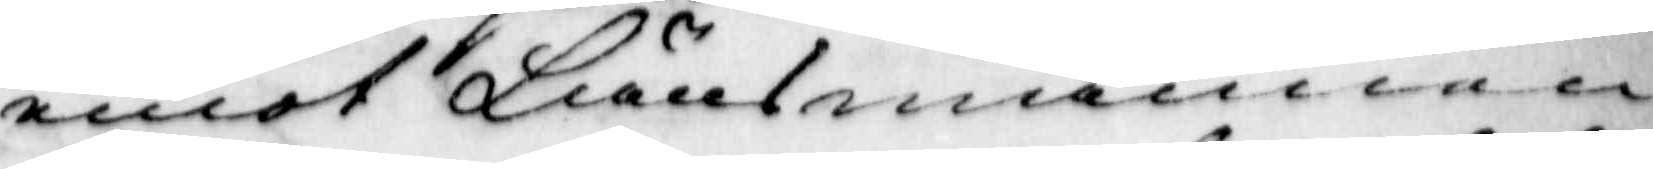emot Länsmannen
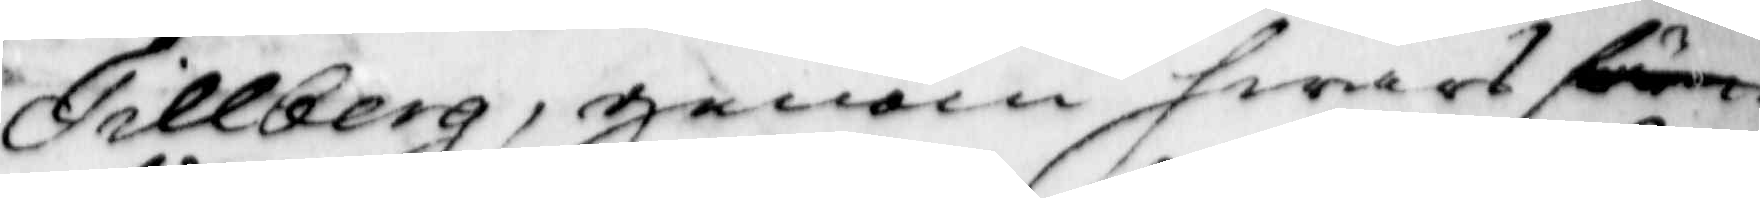Tillberg, genom hwars före
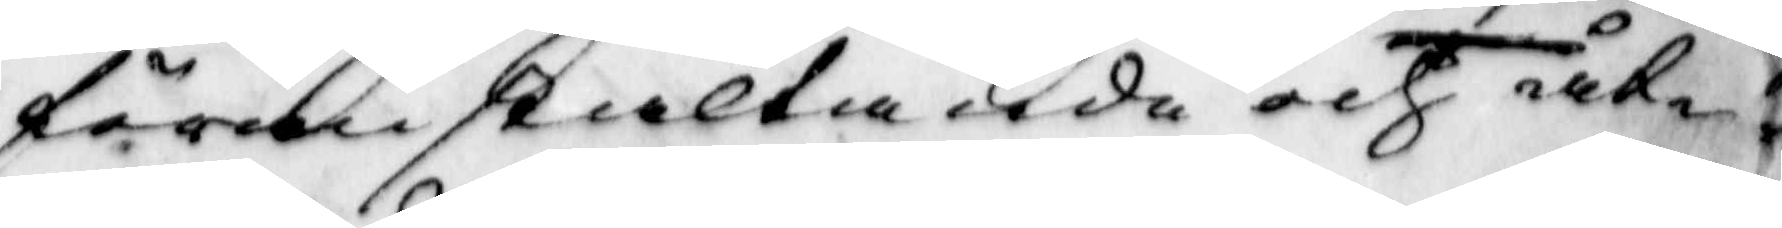föranstaltande och åt¬
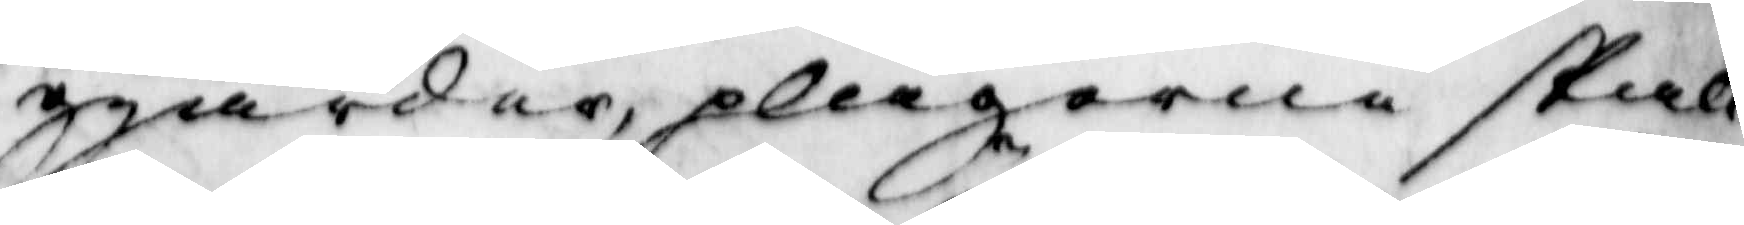giärder, plågorne skall
